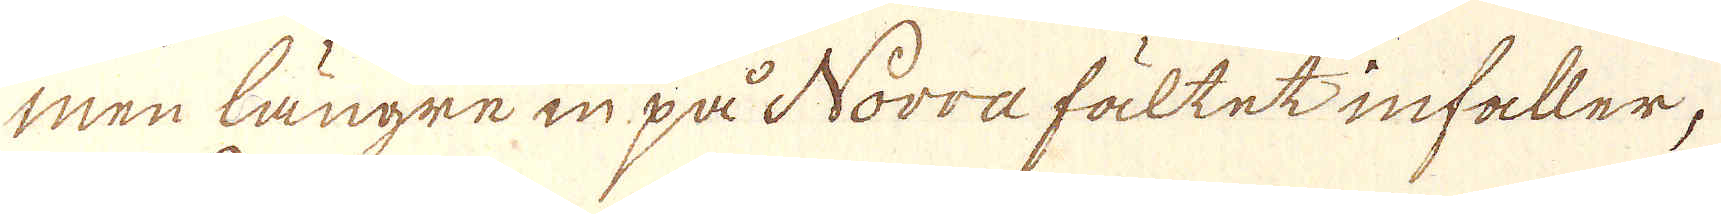men längre in på Norra fältet infaller,
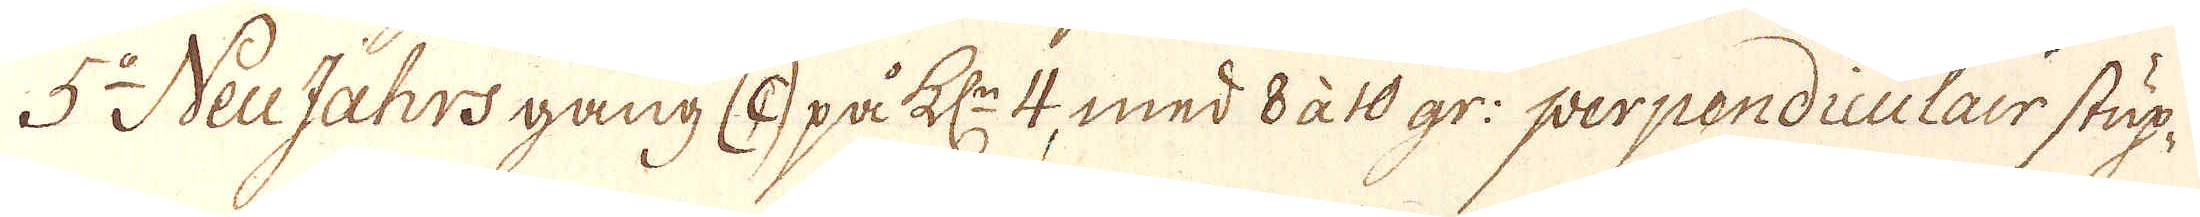5:o Neujahrs gang (c) på kl:n 4, med 8 à 10 gr: perpendiculair stup-
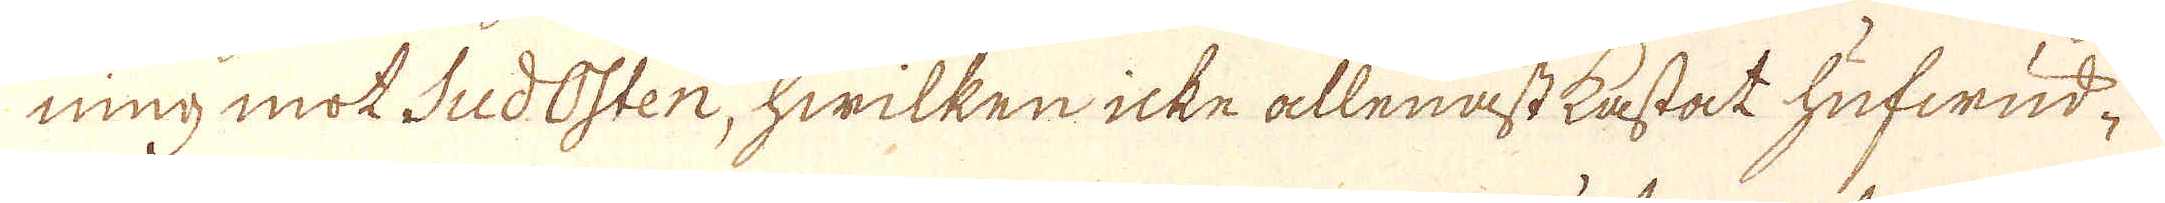ning mot SudOsten, hwilken icke allenast kastat hufwud-
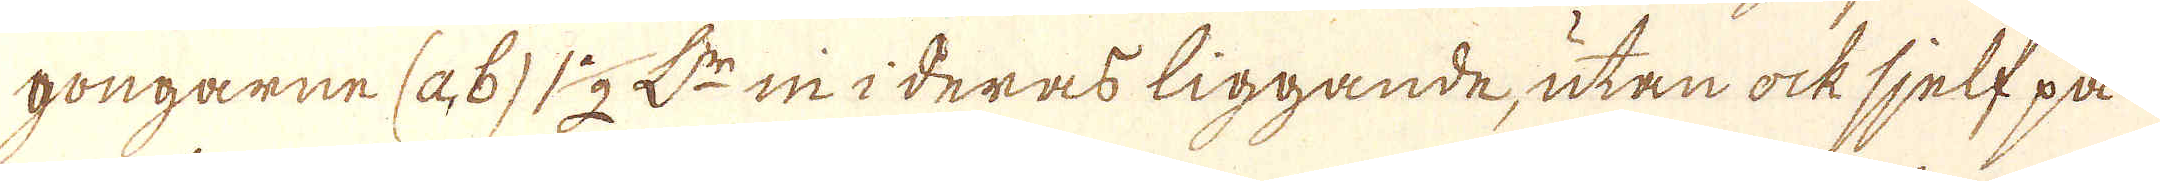gongarne (a, b) 1 1/2 L:rn in i deras liggande, utan ock sjelf på
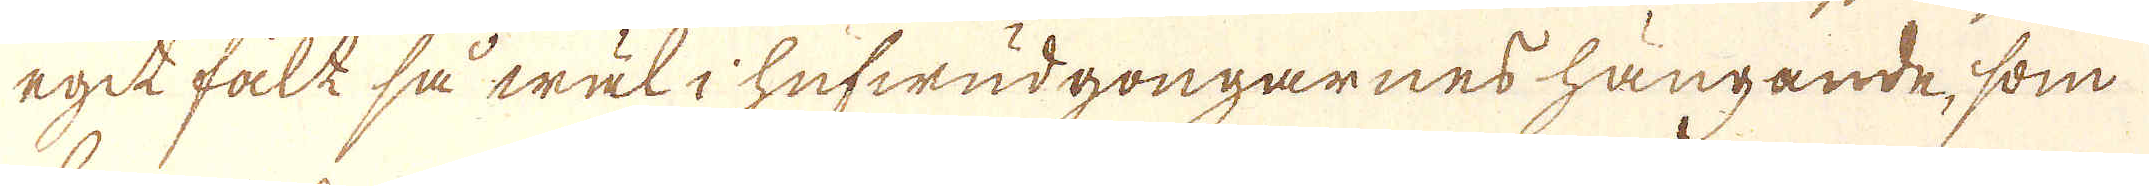egit fält så wäl i hufwudgongarnes hängande, som
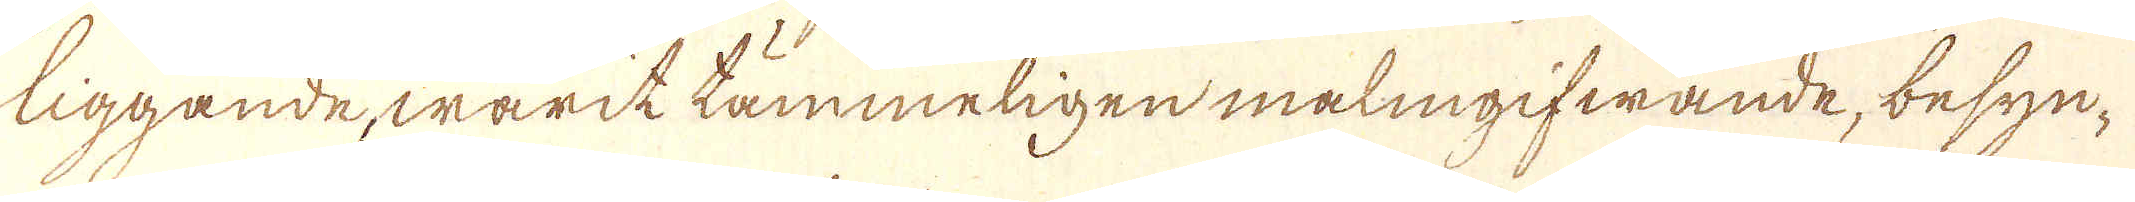liggande, warit tämmeligen malmgifwande, besyn-
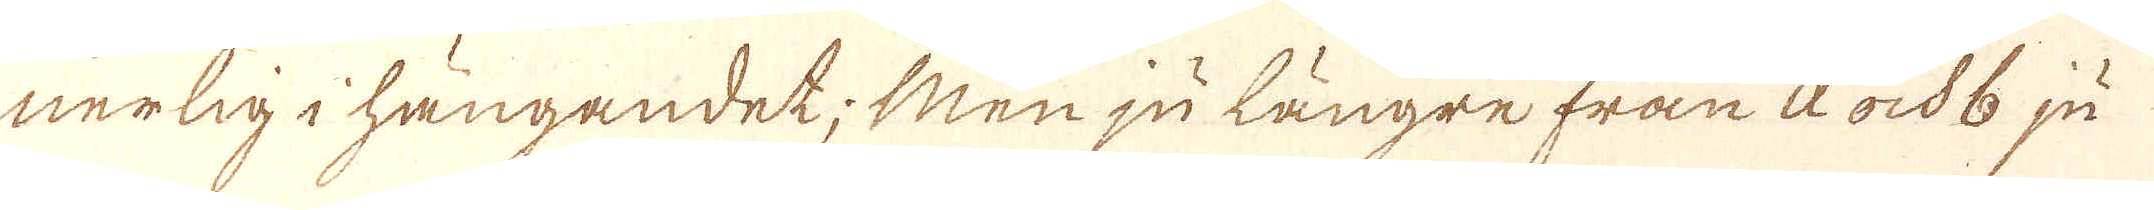nerlig i hängandet; Men ju längre från a ock b ju
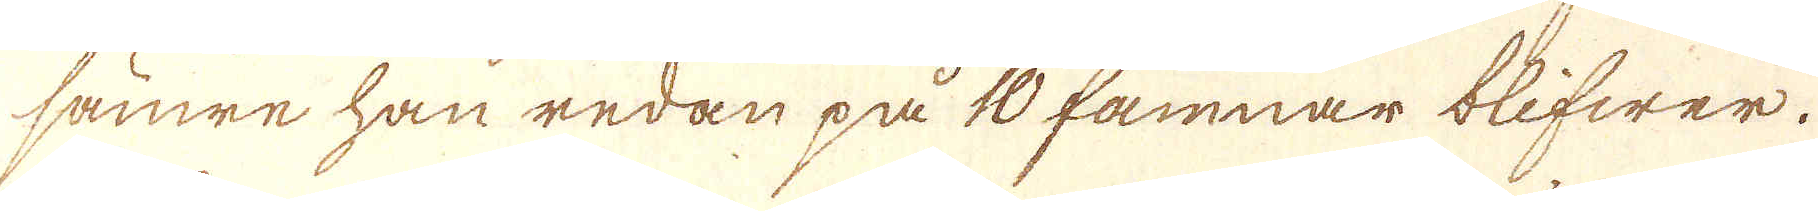sämre han redan på 10 famnar blifwer.
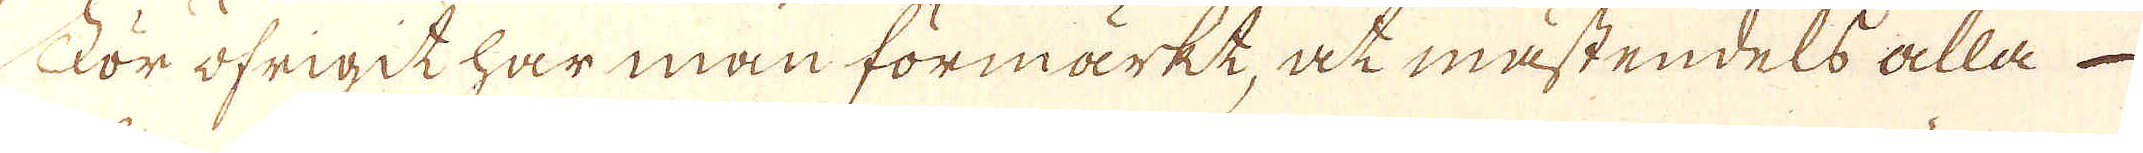För öfrigit har man förmärkt, at mästendels alla
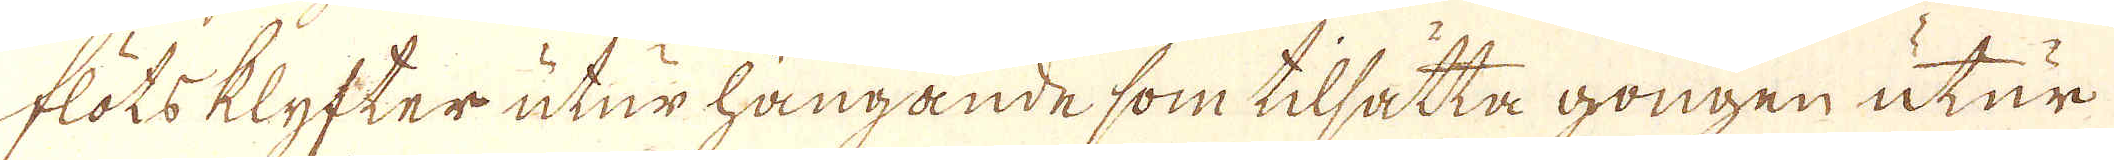flöts klyfter utur hängande som tilsätta gongen utur
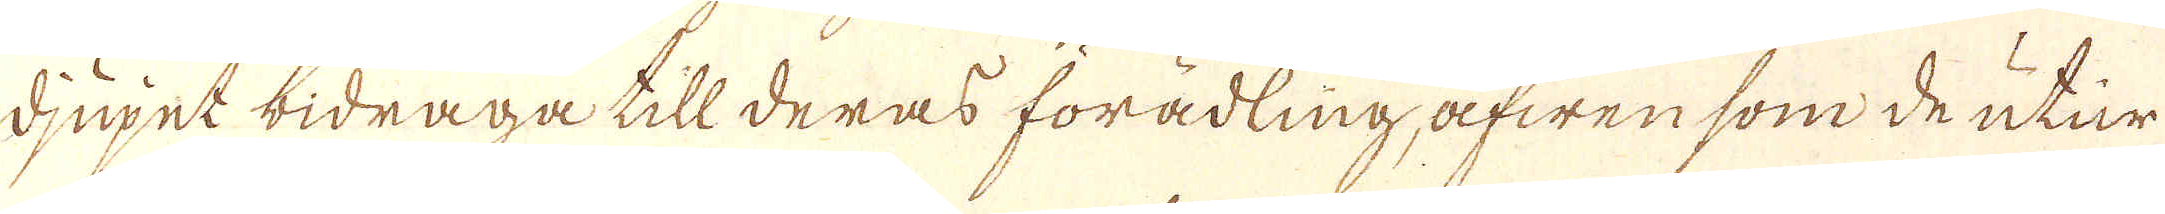djupet bidraga till deras förädling, äfwen som de utur
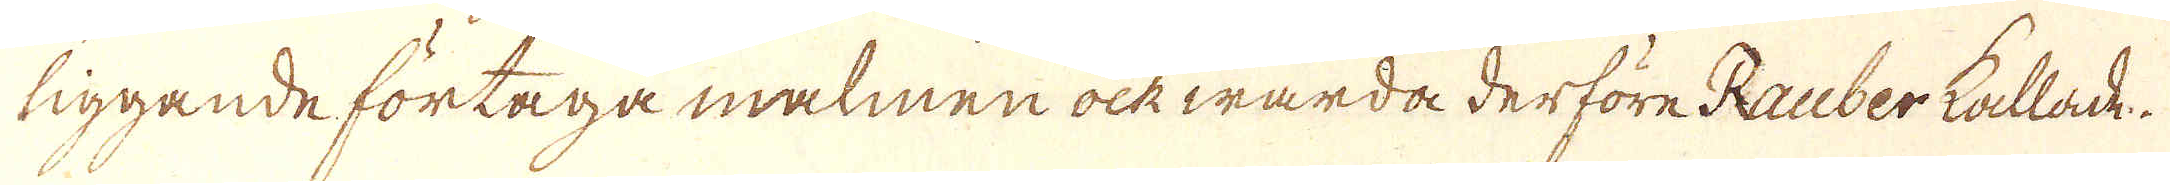liggande förtaga malmen ock warda derföre Rauber kallade.
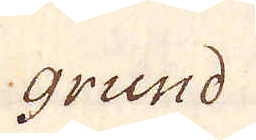Grund
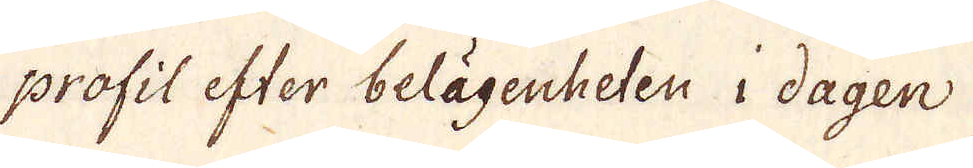profil efter belägenheten i dagen
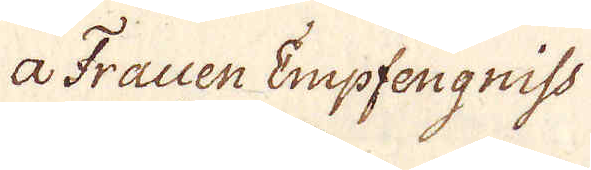a Frauen Empfengnist
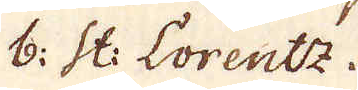b: St: Lorentz.
